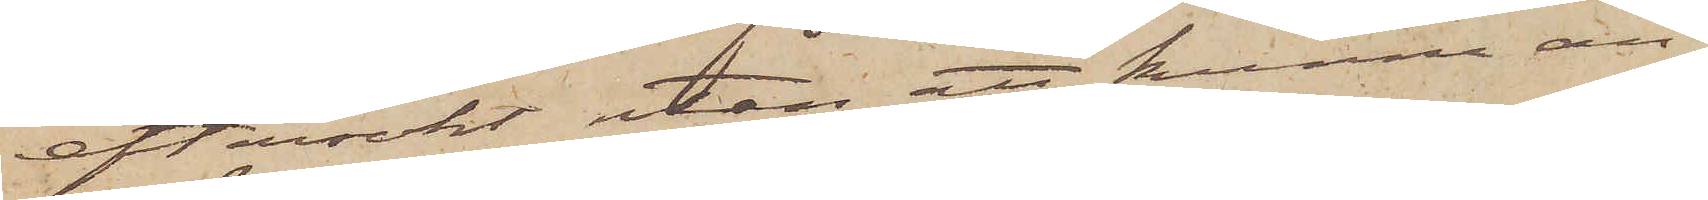eftersökt utan att kunna an¬
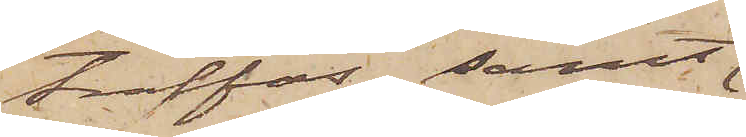träffas; samt
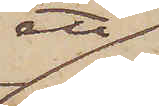att,
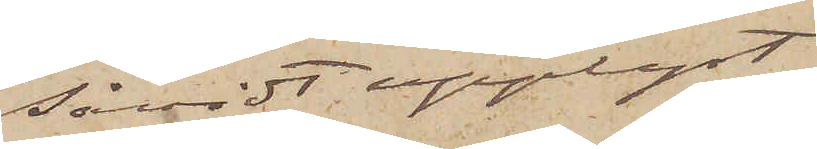såvidt upplyst
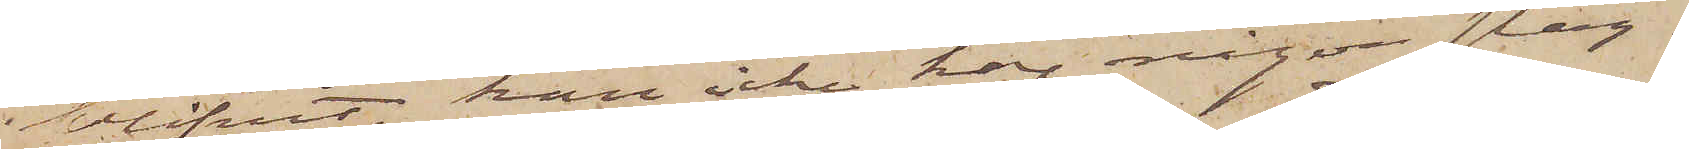blifvit, han icke har någon släg¬
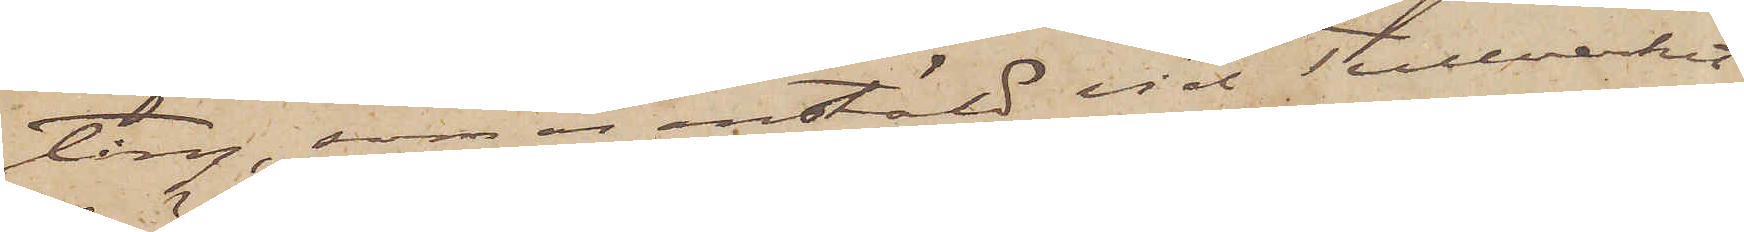ting, som är anstäld vid Tullverket
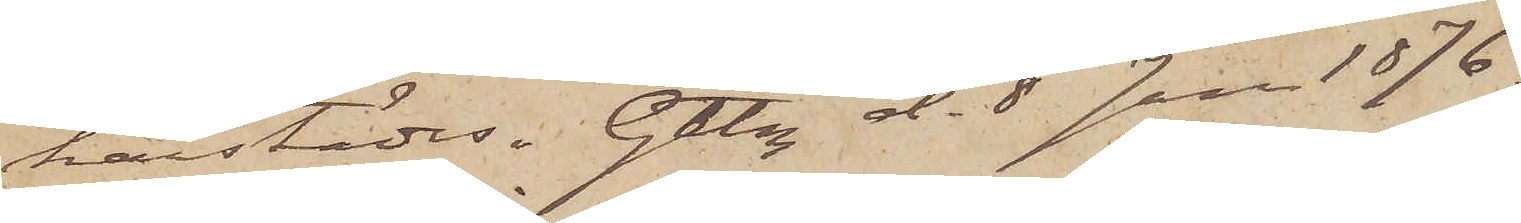härstädes. Gtbg d. 8 Jan 1876.
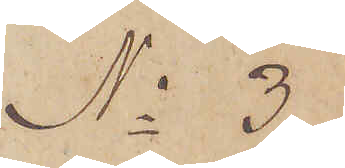No 3
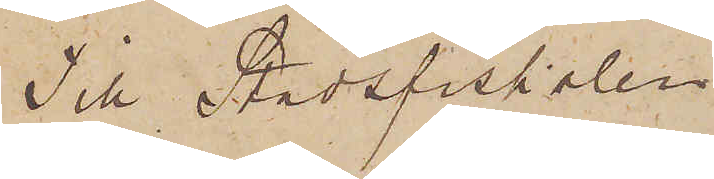Till Stadsfiskalen
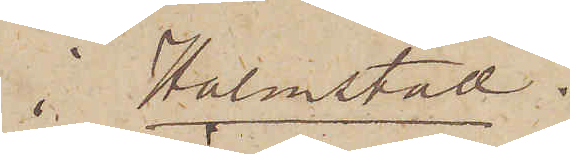i Halmstad.
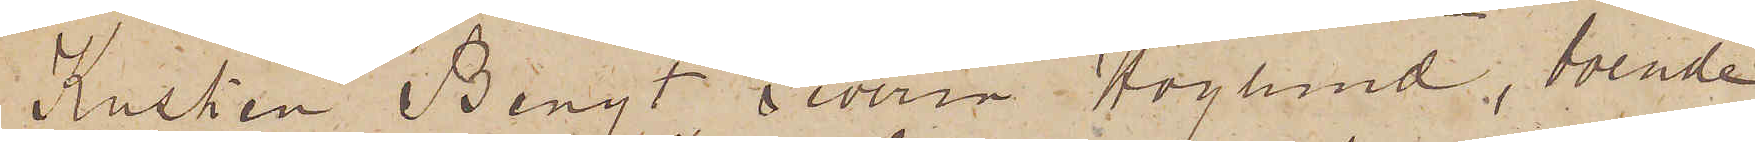Kusken Bengt Severin Höglund, boende
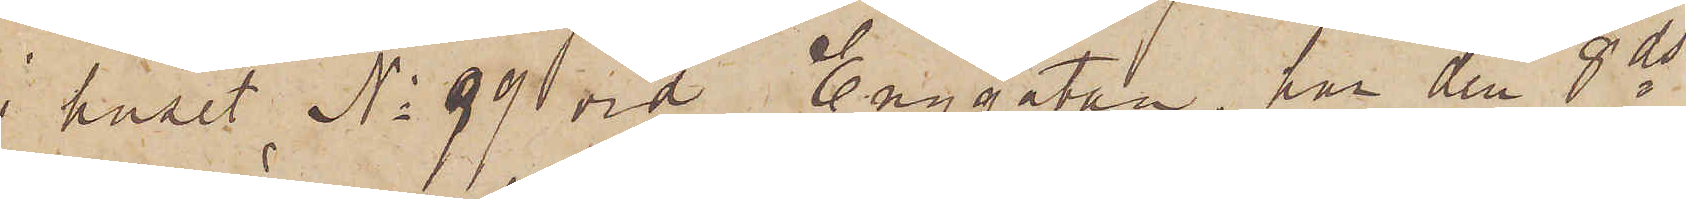i huset No 99 vid Enggatan, har den 8 ds
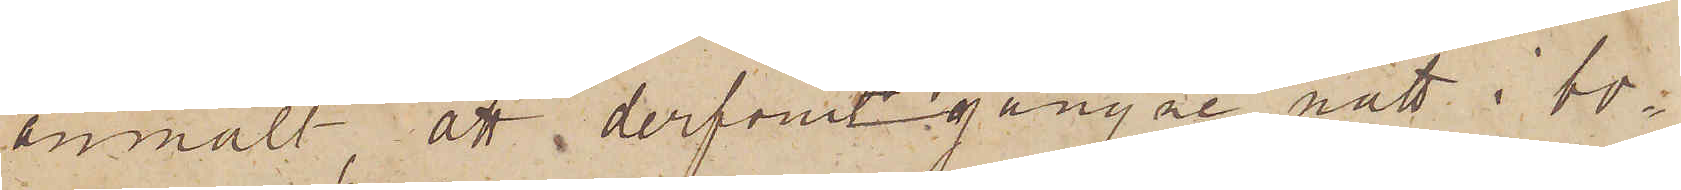anmält att derförutgångne natt i bo¬
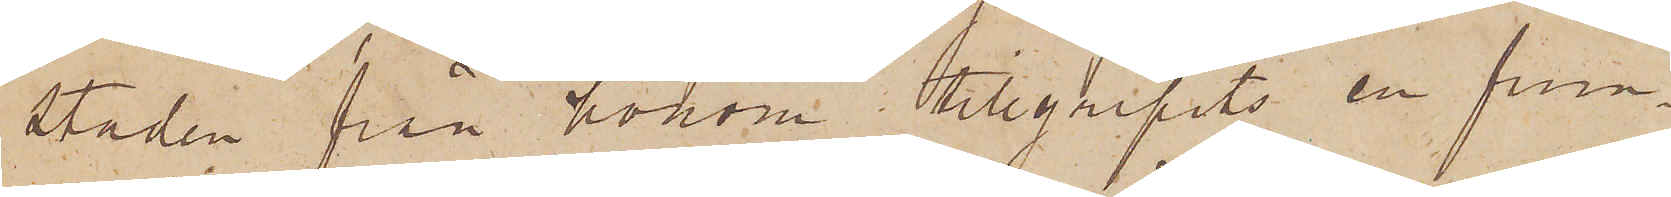staden från honom tillgripits en frun¬
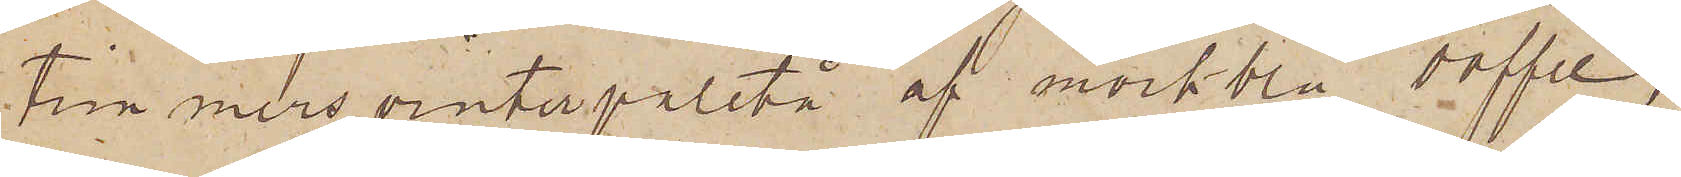timmers vinterpaletå af mörkblå doffel,
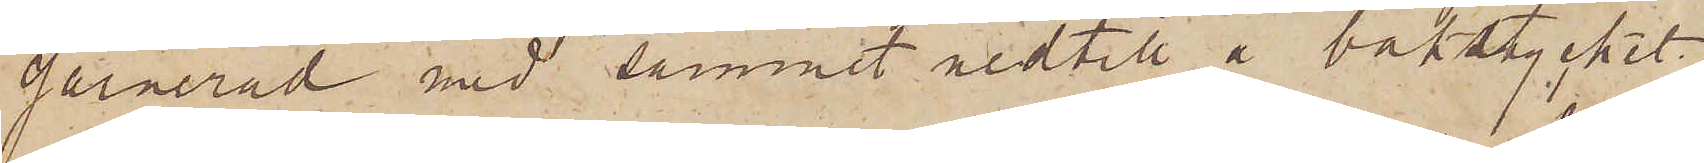garnerad med sammet nedtill å bakstycket
